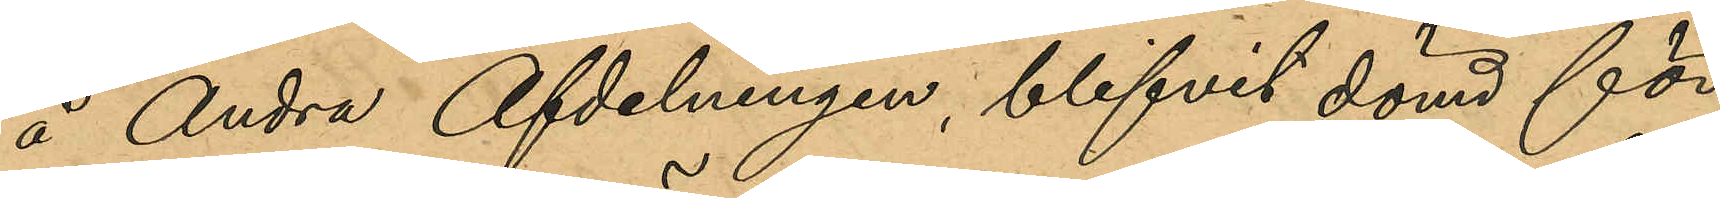å Andra Afdelningen, blifvit dömd för
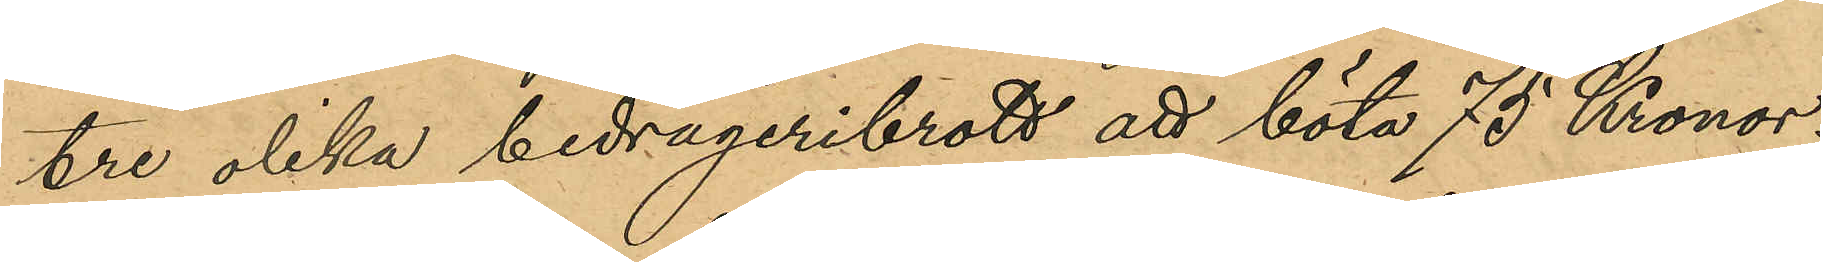tre olika bedrägeribrott att böta 75 Kronor;
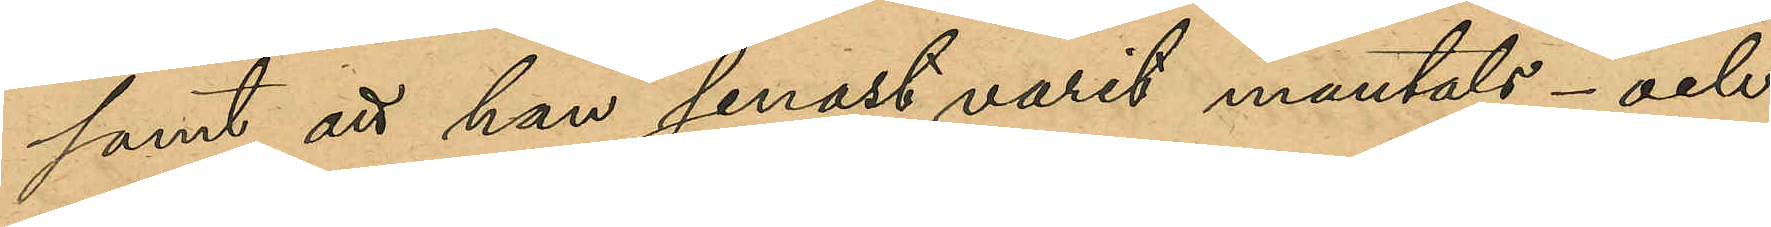samt att han senast varit mantals- och
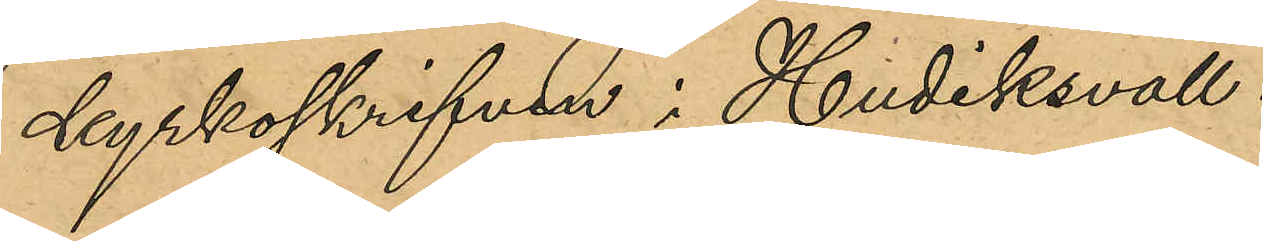kyrkoskrifven i Hudiksvall.
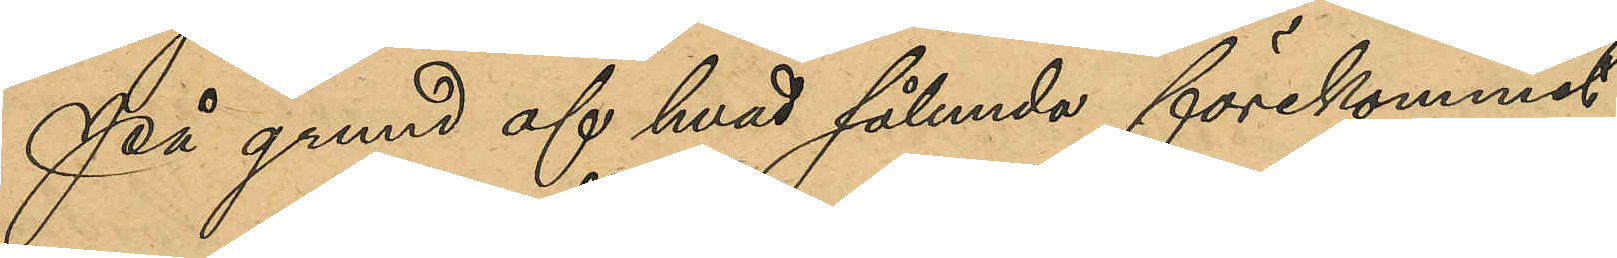På grund af hvad sålunda förekommit
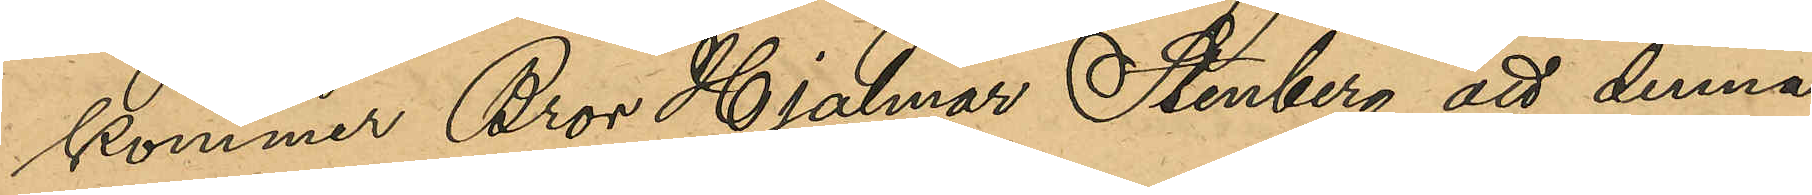kommer Bror Hjalmar Stenberg att denna
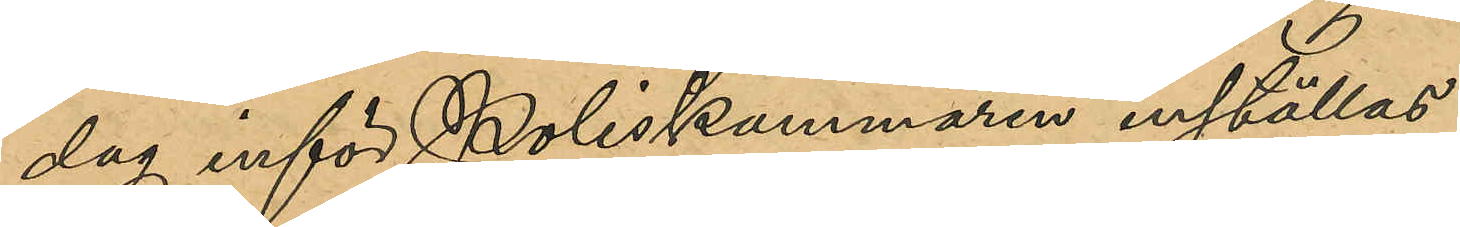dag inför Poliskammaren inställas.
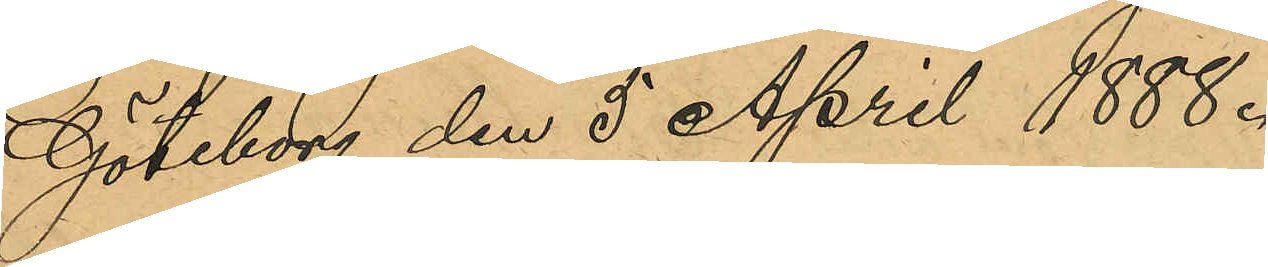Göteborg den 5 April 1888.
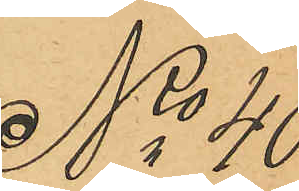No 40
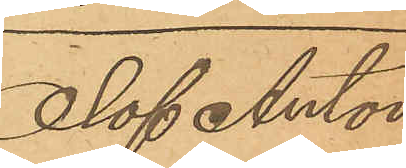Olof Anton
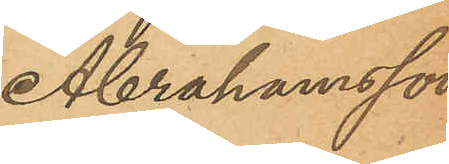Abrahamsson
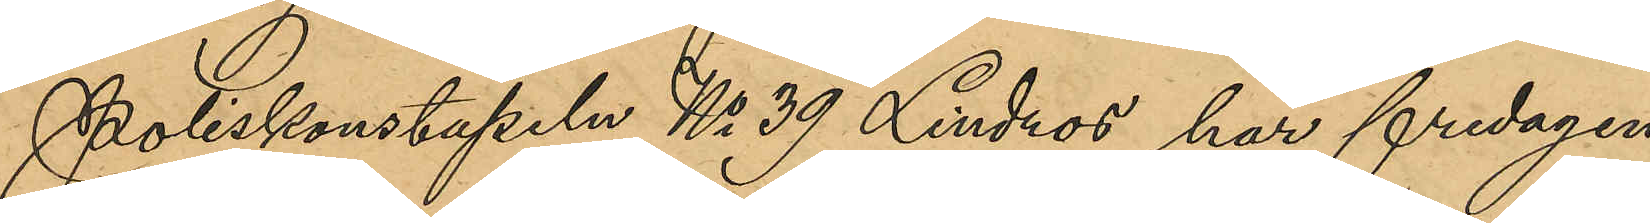Poliskonstapeln No 39 Lindros har fredagen
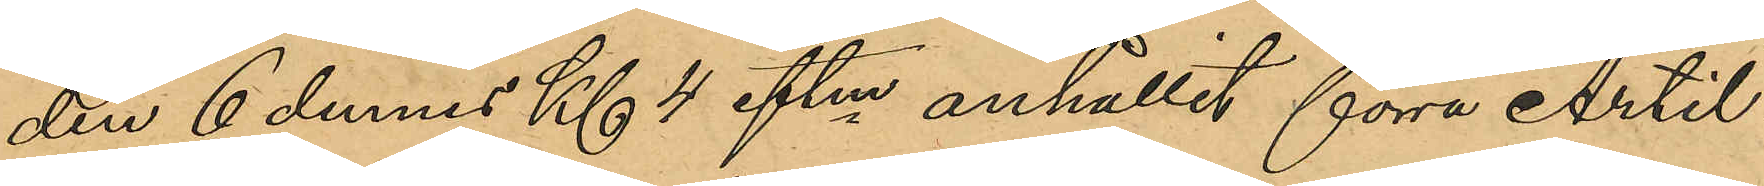den 6 dennes Kl 4 eftm anhållit förre Artil¬
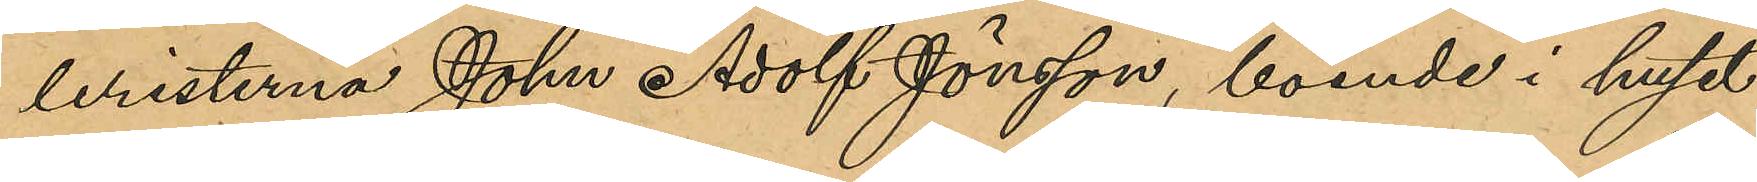leristen John Adolf Jönsson, boende i huset
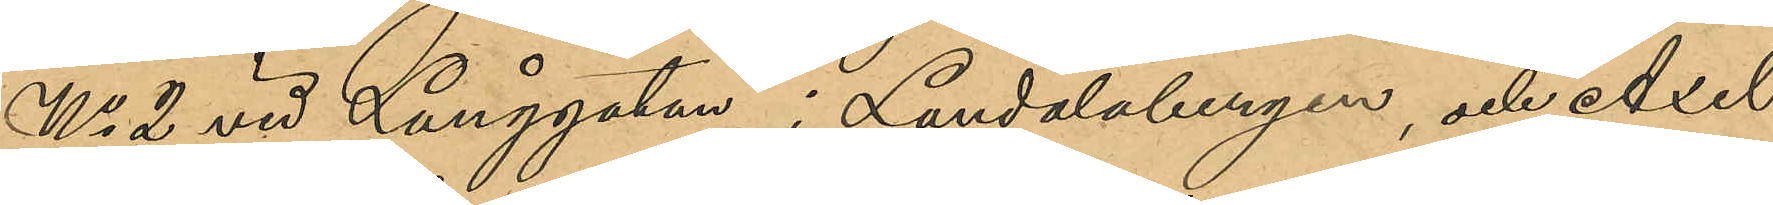No 2 vid Långgatan i Landalabergen, och Axel
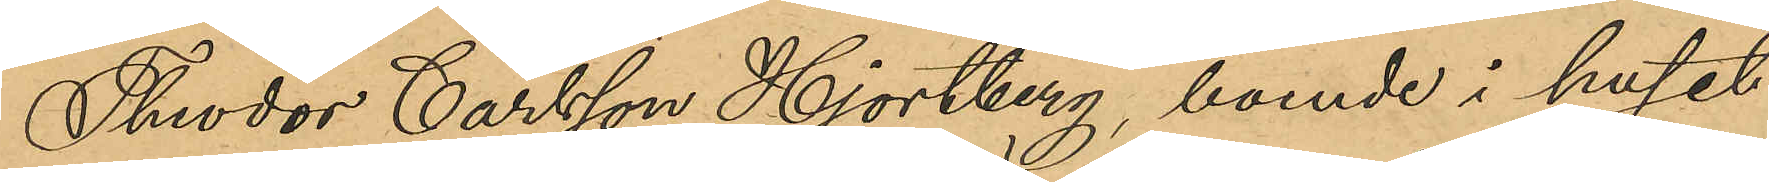Thedor Carlsson Hjortberg, boende i huset
